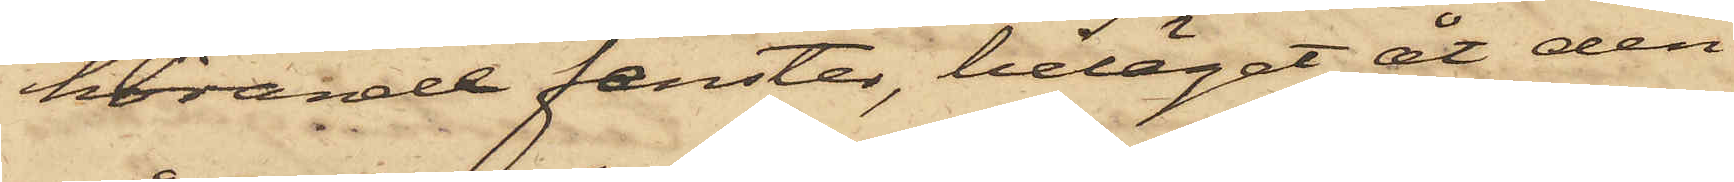hörande fenster, beläget åt den
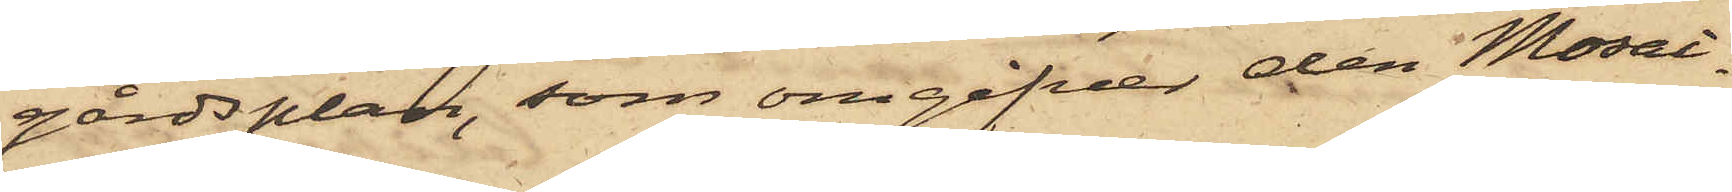gårdsplan, som omgifver den Mosai¬
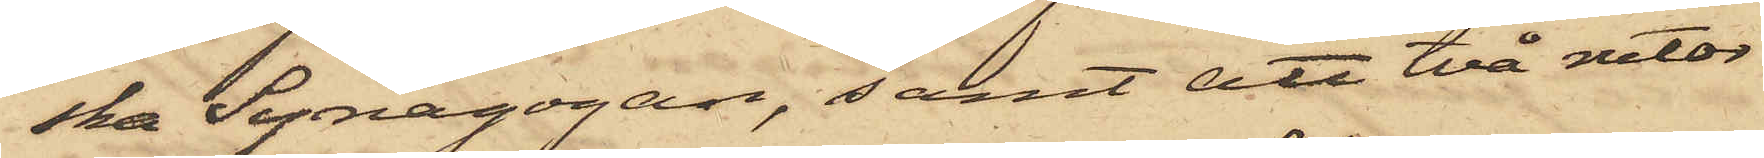ska Synagogan, samt att två rutor
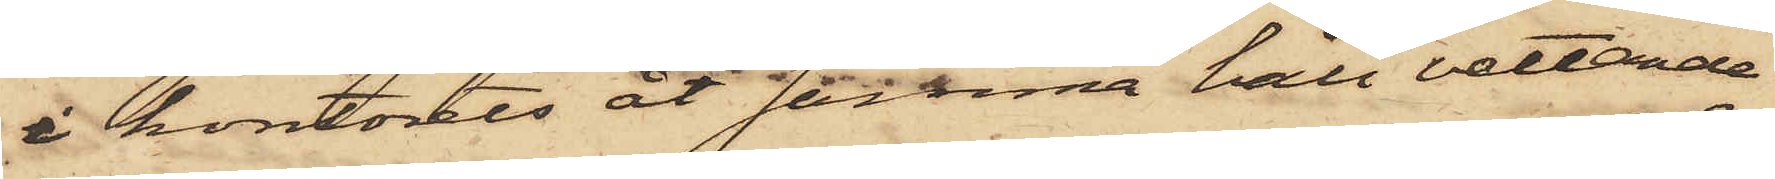i kontorets åt samma håll vettande
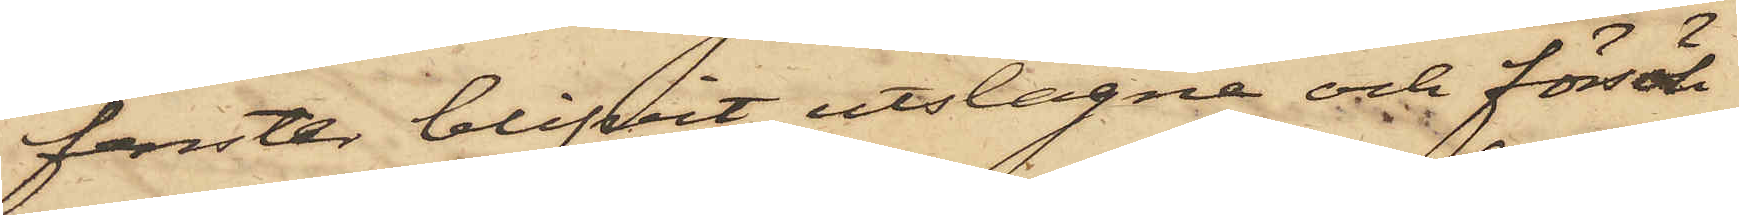fönster blifvit utslagne och försök
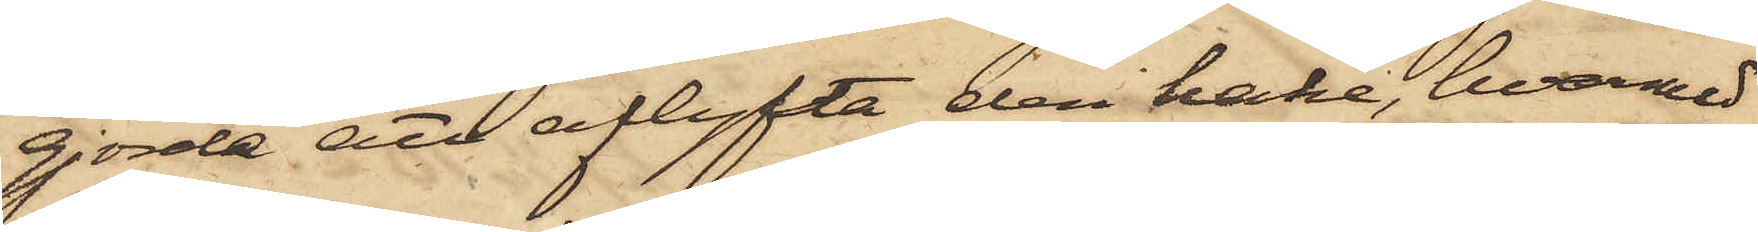gjorda att aflyfta den hake, hvarmed
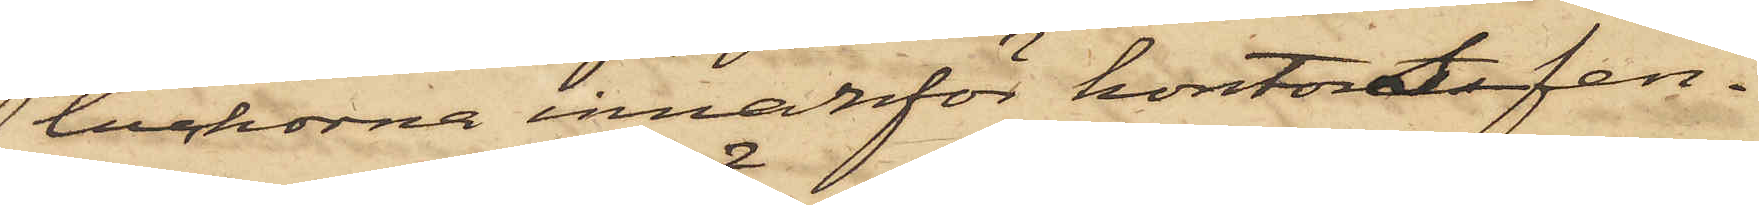luckorna innanför kontorsfen¬
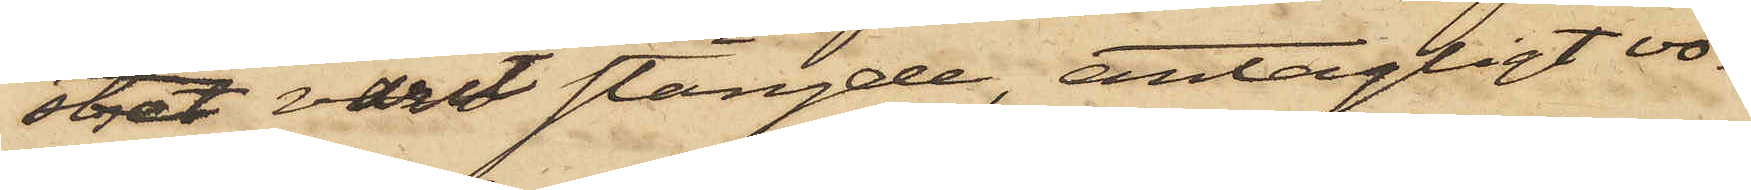stret varit stängde, antagligt vo¬
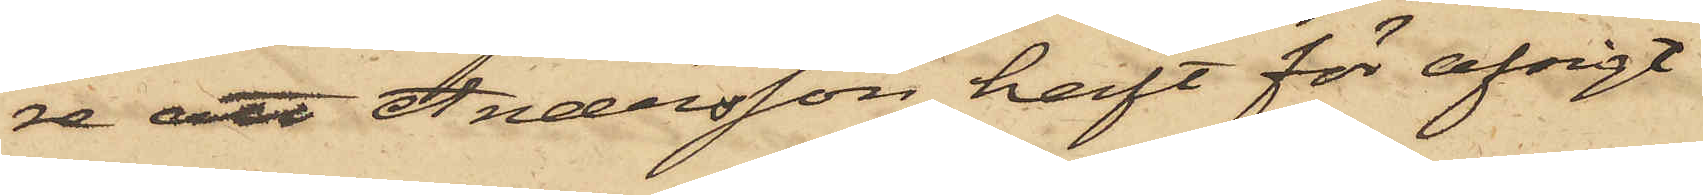re att Andersson haft för afsigt
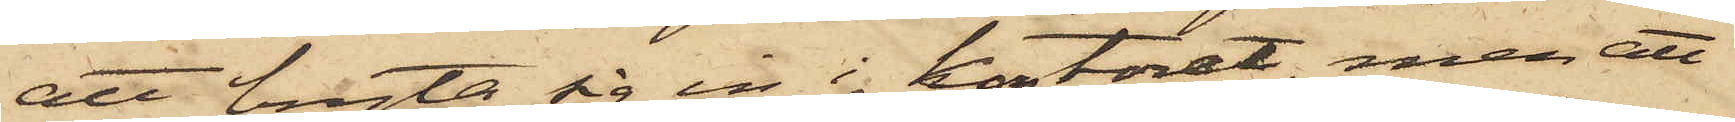att bryta sig in i kontoret, men att
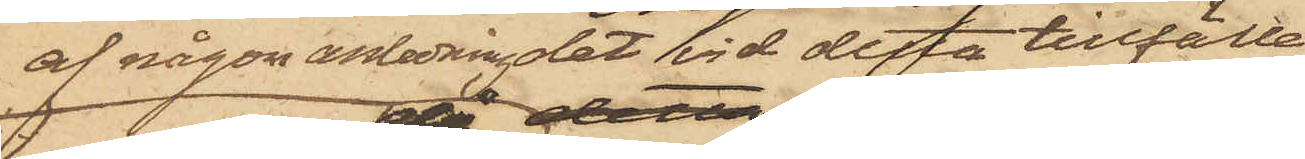af någon anledning det vid detta tillfälle
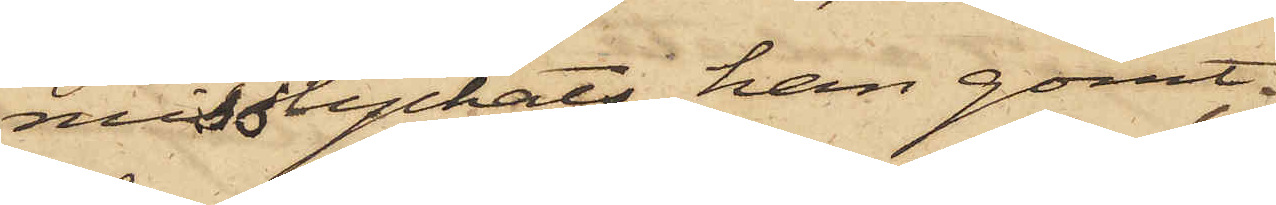misslyckats, han gömt
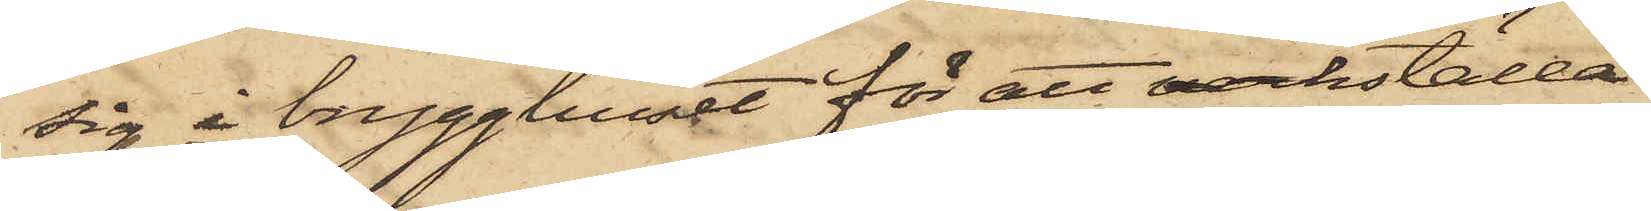sig i brygghuset för att verkställa
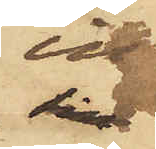in¬
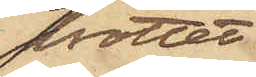brottet
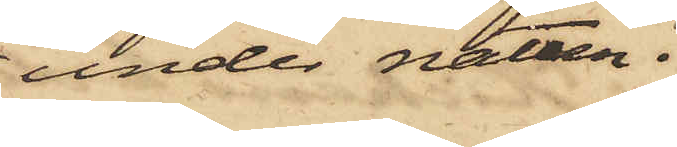under natten.
